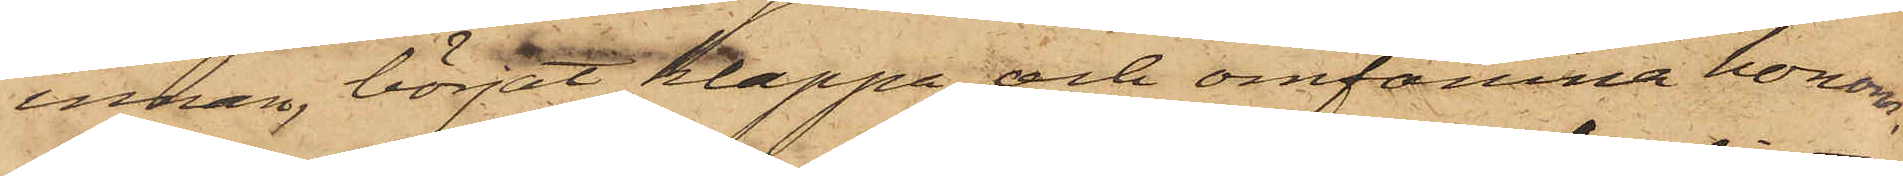innan, börjat klappa och omfamna honom,
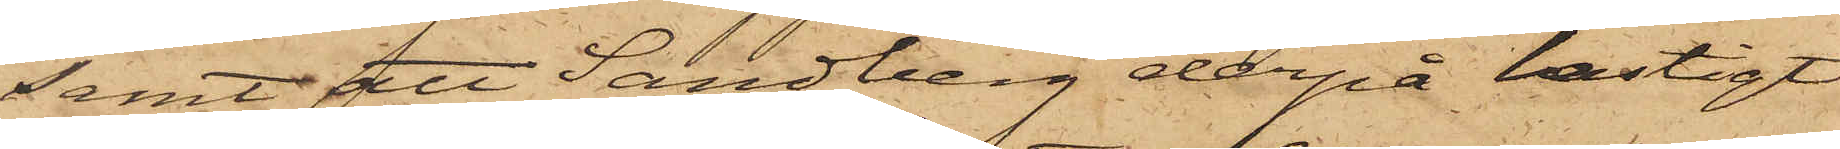samt att Sandberg derpå hastigt
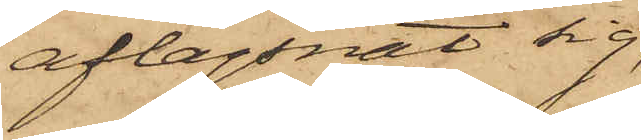aflägsnat sig,
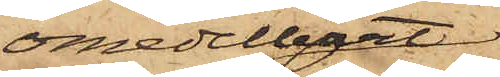omedelbart
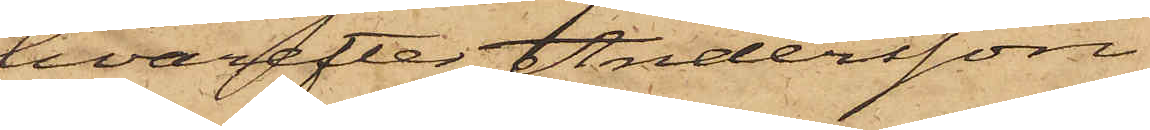hvarefter Andersson
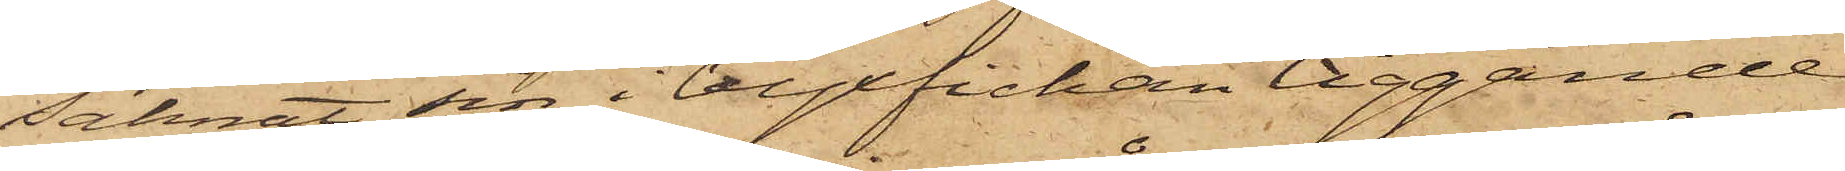saknat sin i byxfickan liggande
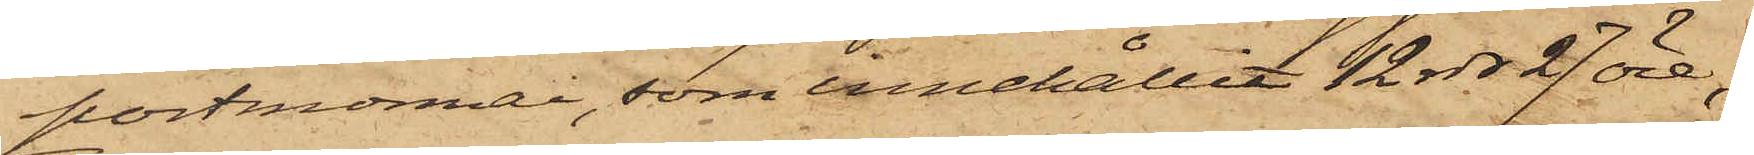portmonnai, som innehållit 12 rdr 27 öre.
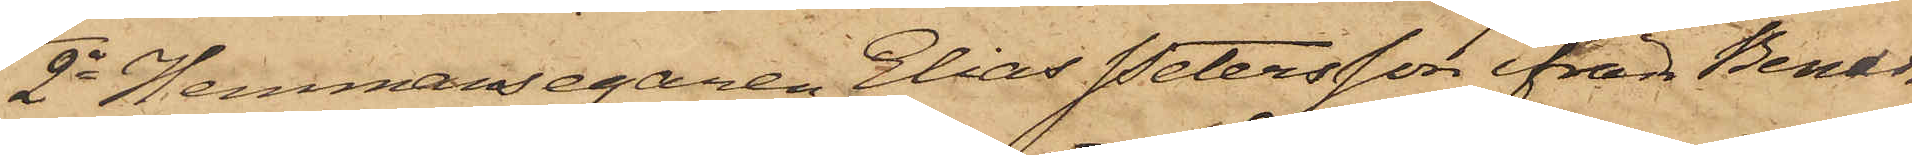2o Hemmansegaren Elias Petersson ifrån Benar¬
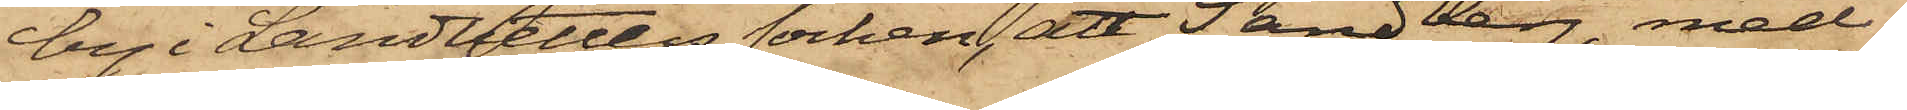by i Landvetters socken, att Sandberg med
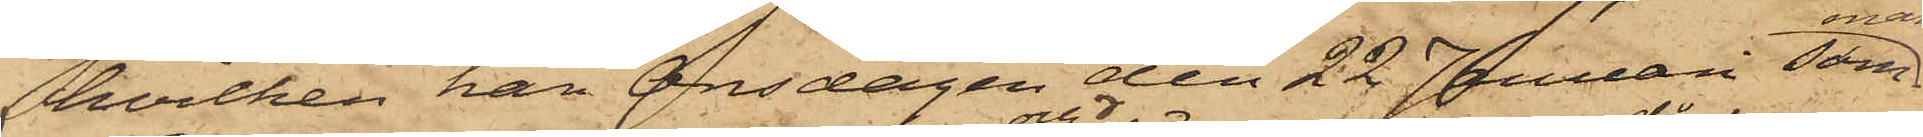hvilken han Onsdagen den 22 Januari samman¬
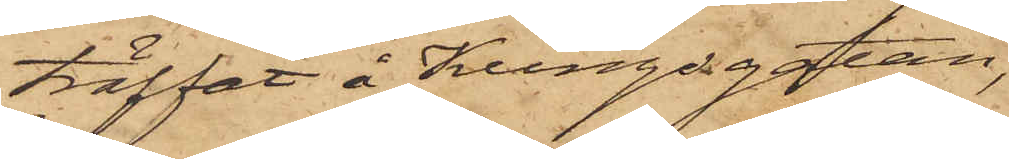träffat å Kungsgatan,
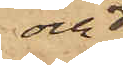och 
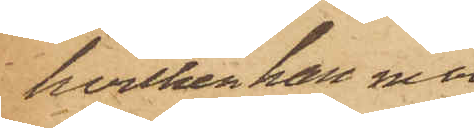hvilken han med
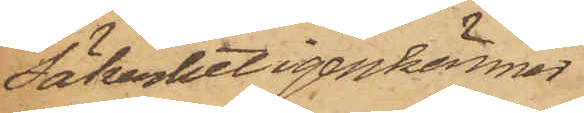säkerhet igenkänner
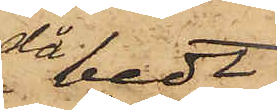då bedt
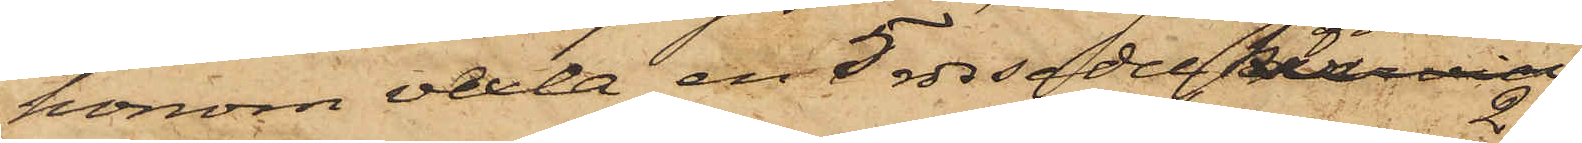honom vexla en 5 rdr sedel, hvarvid
